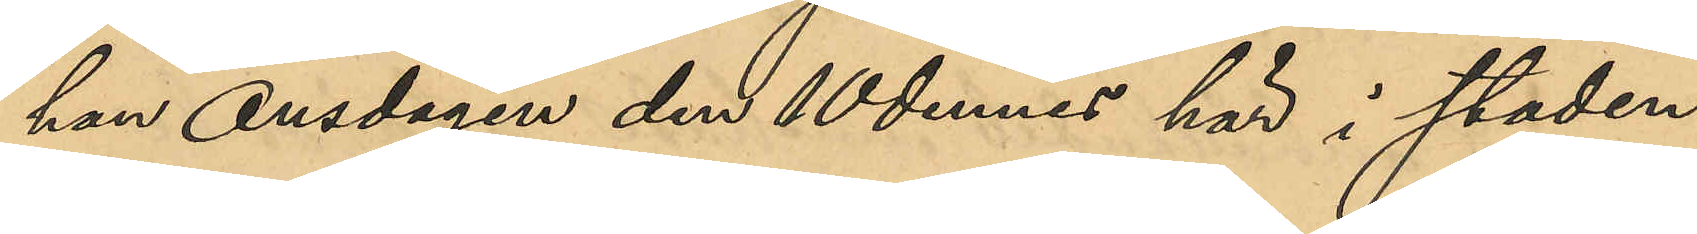han Onsdagen den 10 dennes här i staden
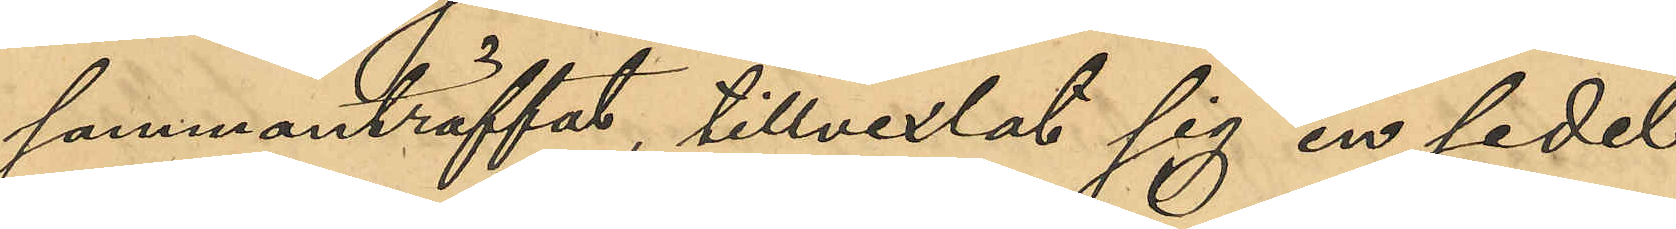sammanträffat, tillvexlat sig en sedel
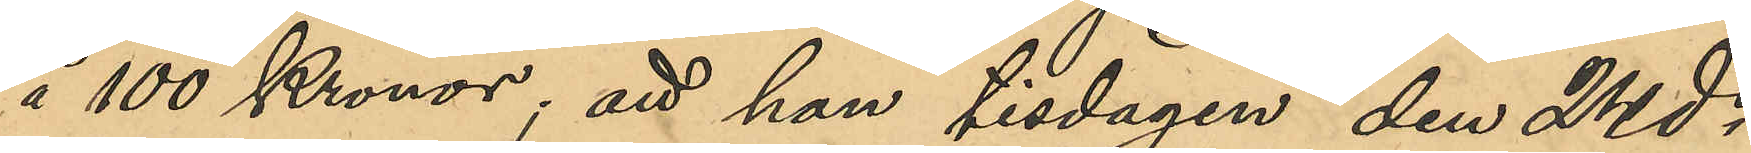å 100 Kronor; att han tisdagen den 24 ds
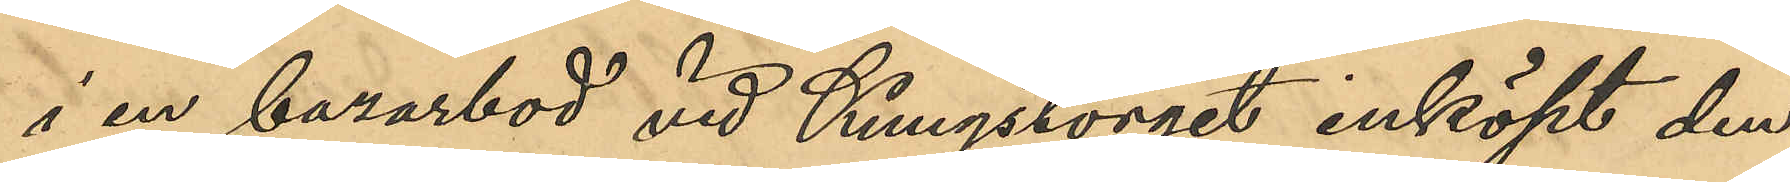i en bazarbod vid Kungstorget inköpt den
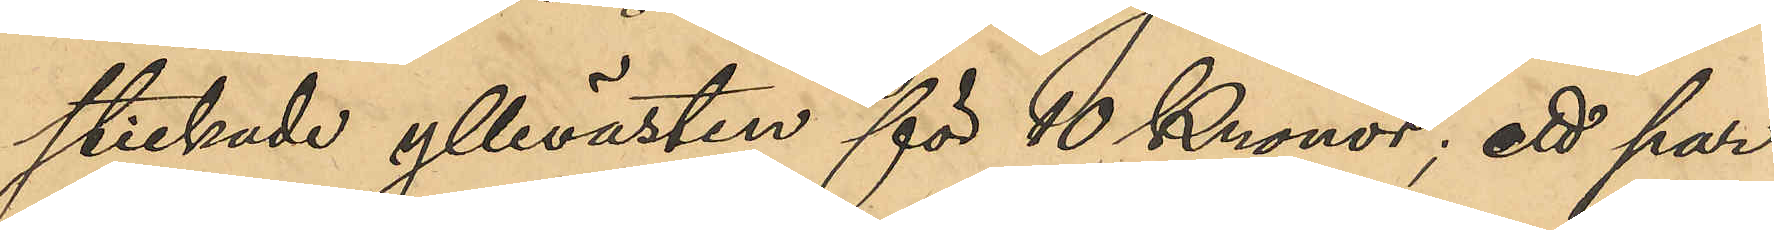stickade yllevästen för 10 Kronor; ett par
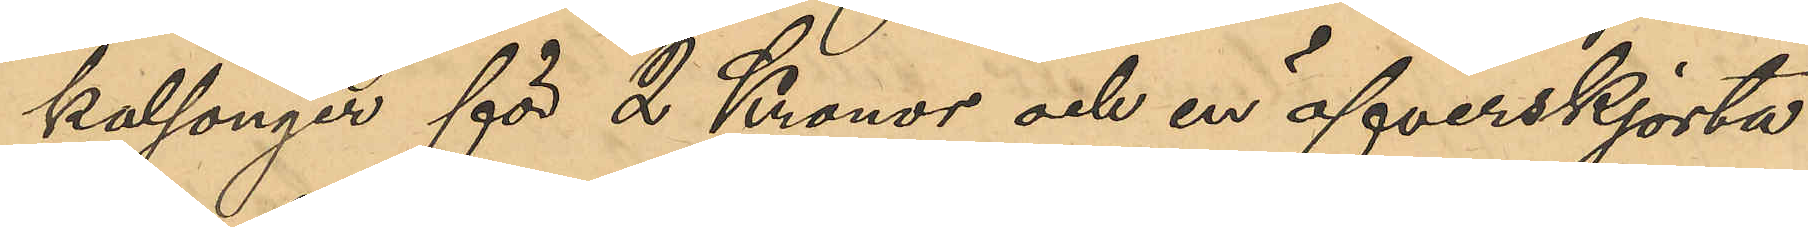kalsonger för 2 Kronor och en öfverskjorta
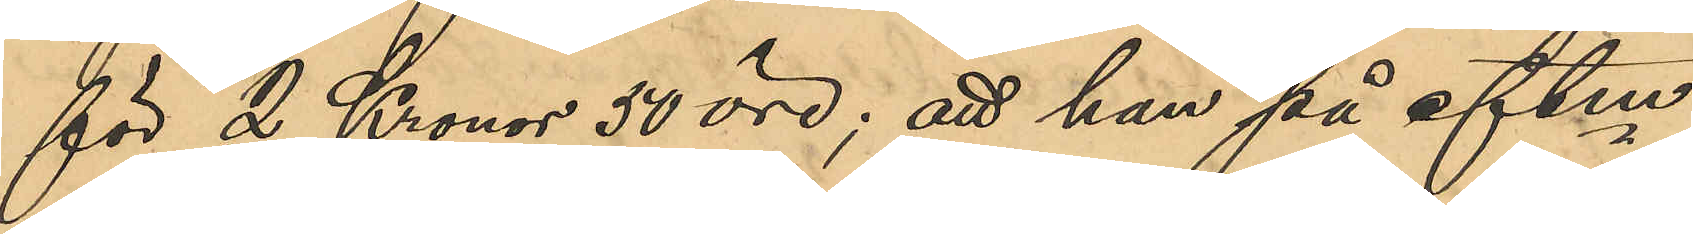för 2 Kronor 50 öre; att han på eftm
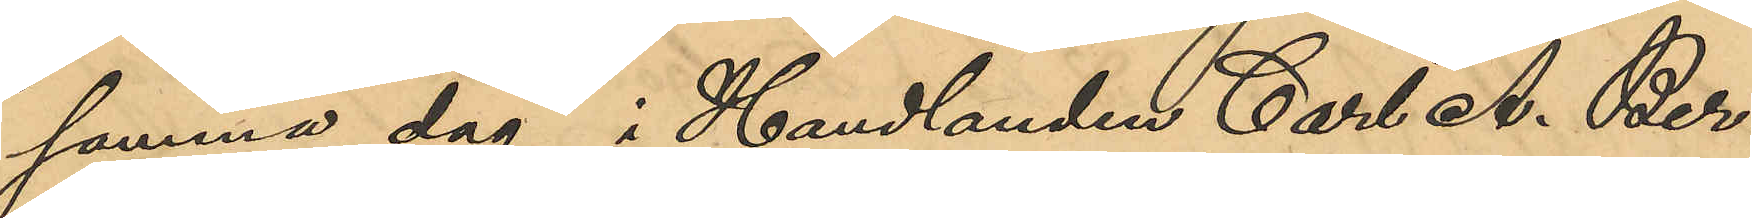samma dag i Handlanden Carl A. Ber¬
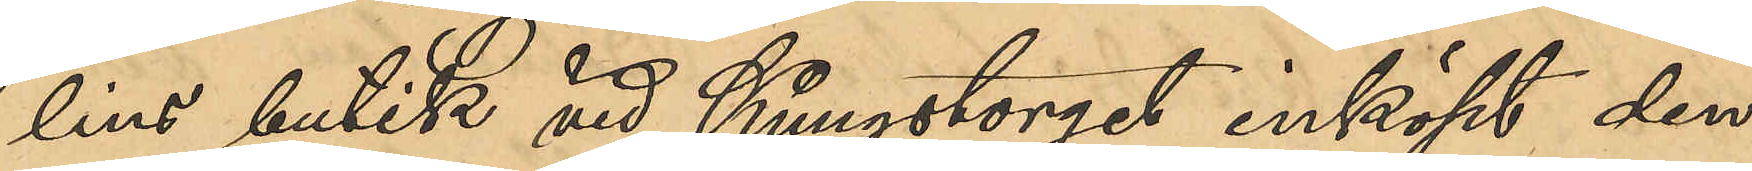lins butik vid Kungstorget inköpt den
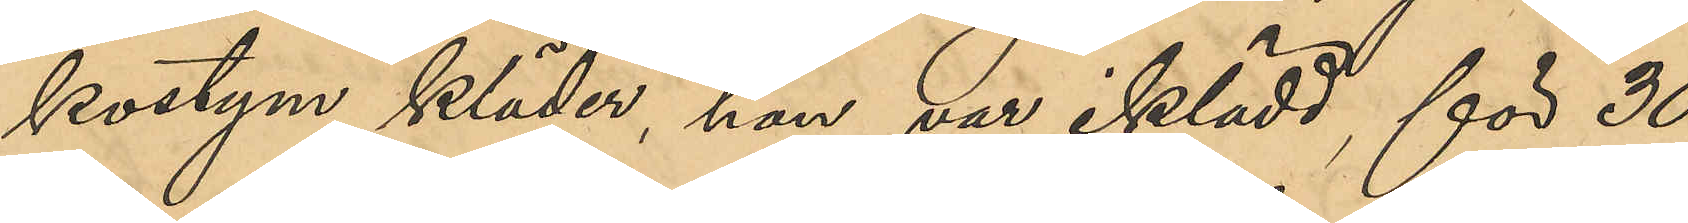kostym kläder, han var iklädd, för 30
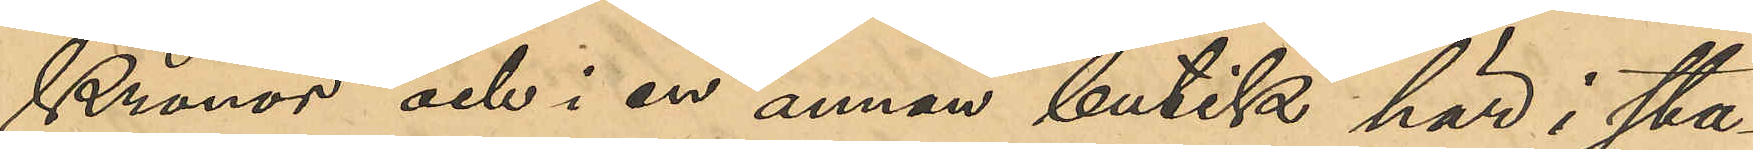Kronor och i en annan butik här i sta¬
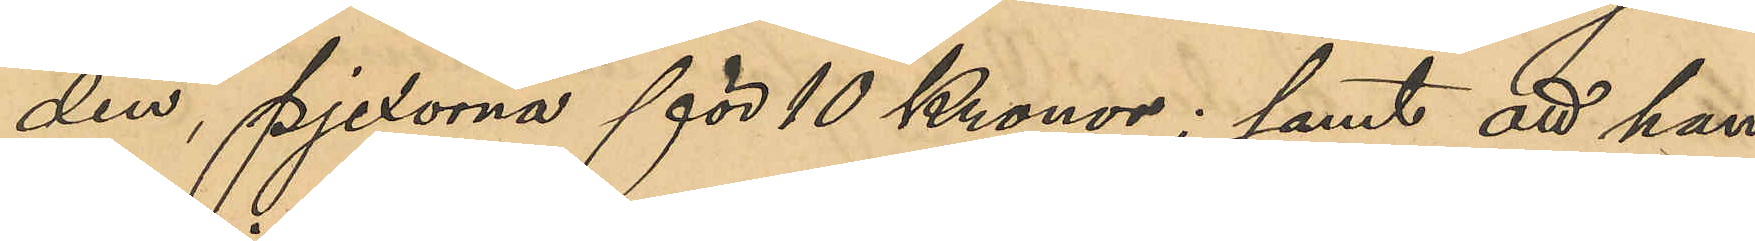den, pjexorna för 10 Kronor; samt att han
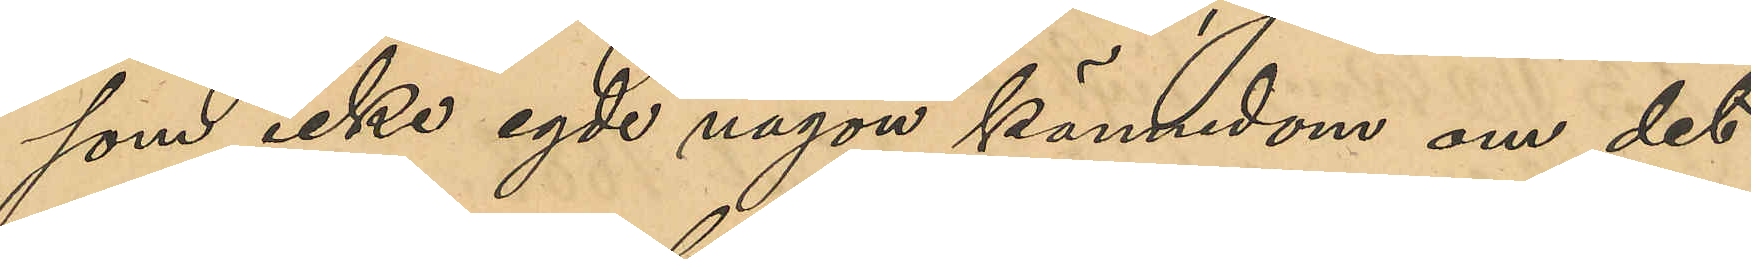som icke egde någon kännedom om det
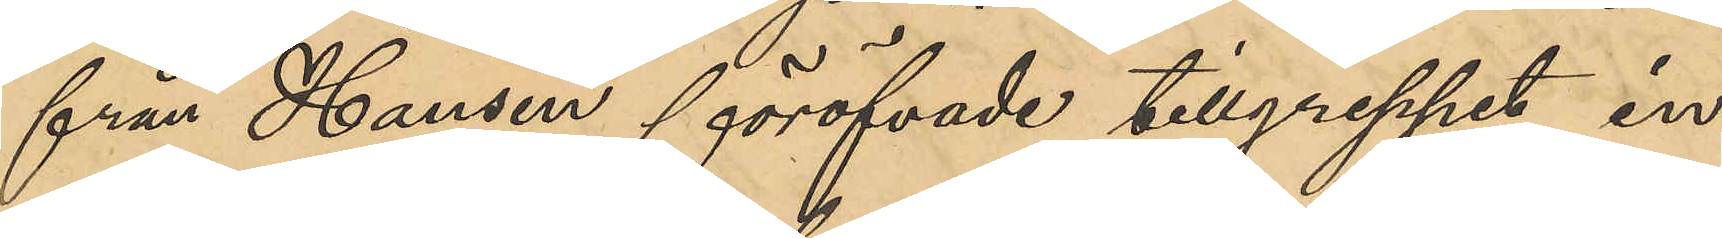från Hansen föröfvade tillgreppet, in¬
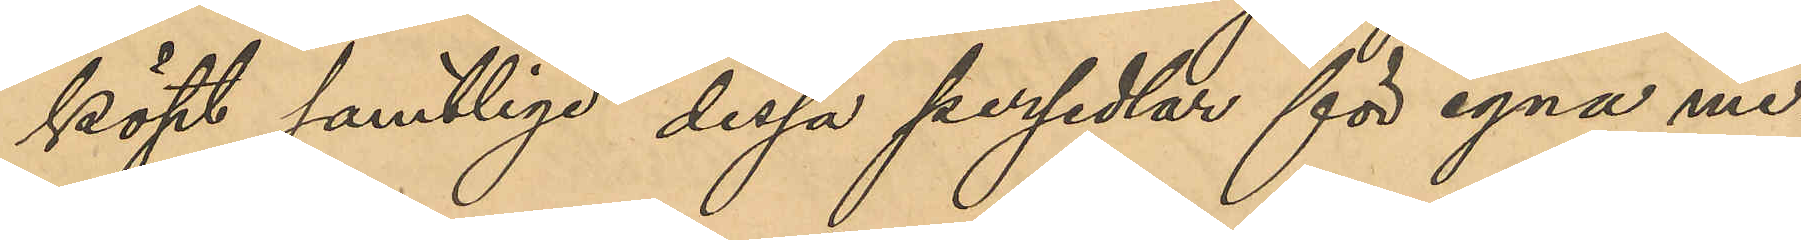köpt samtlige dessa persedlar för egna me¬
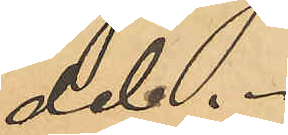del.
